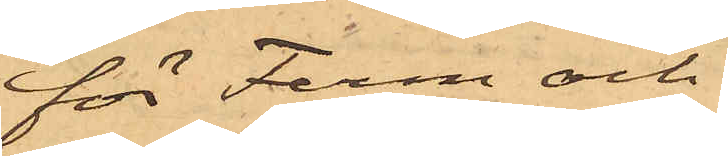för Ferm och
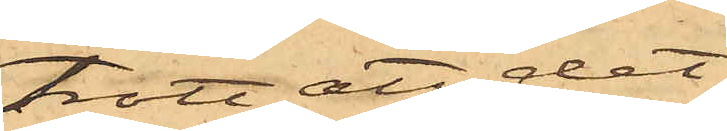trott att det
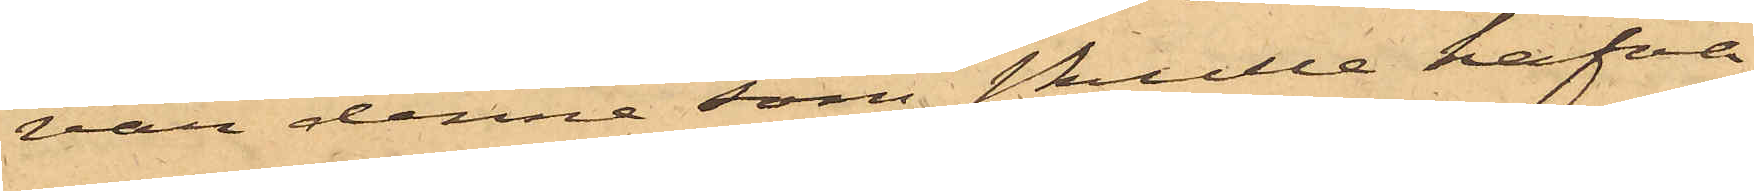var denne som skulle hafva
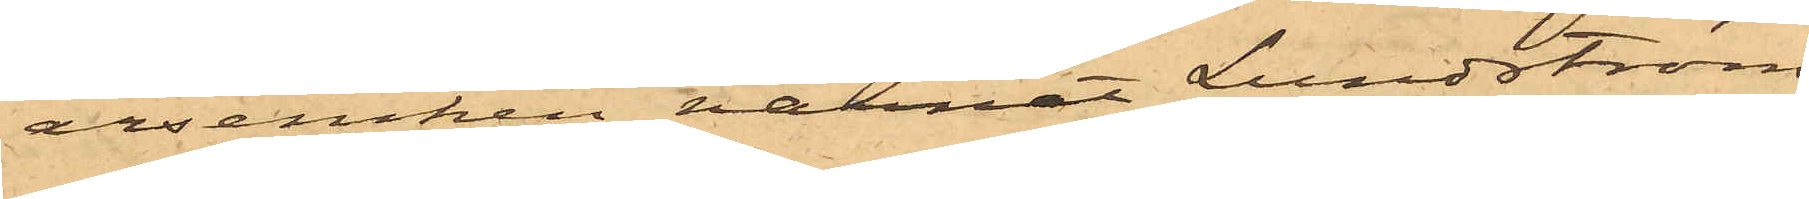arseniken varnat Lundström
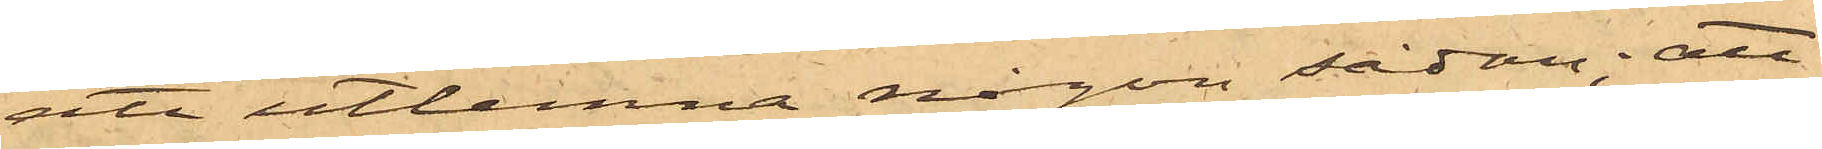att utlemna någon sådan; att
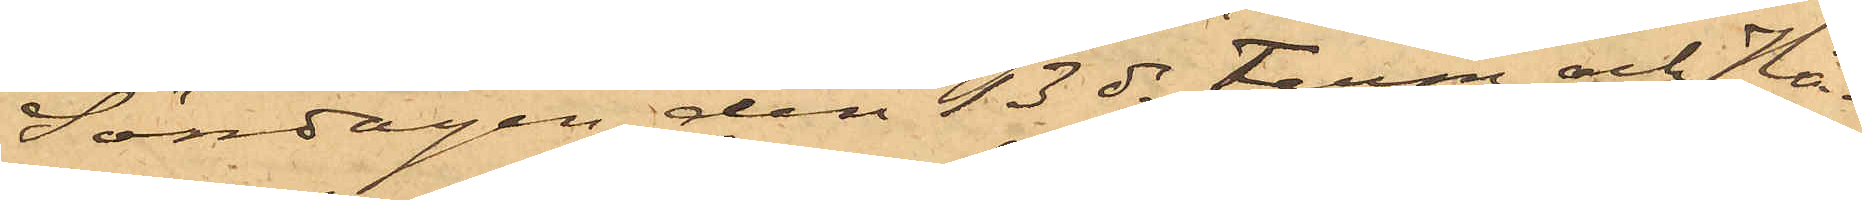Söndagen den 13 ds Ferm och Hå¬
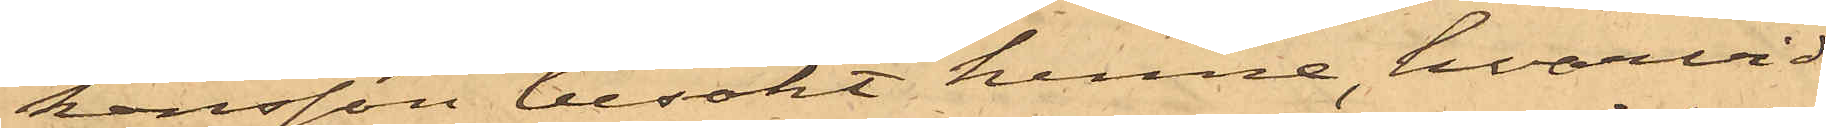kansson besökt henne, hvarvid
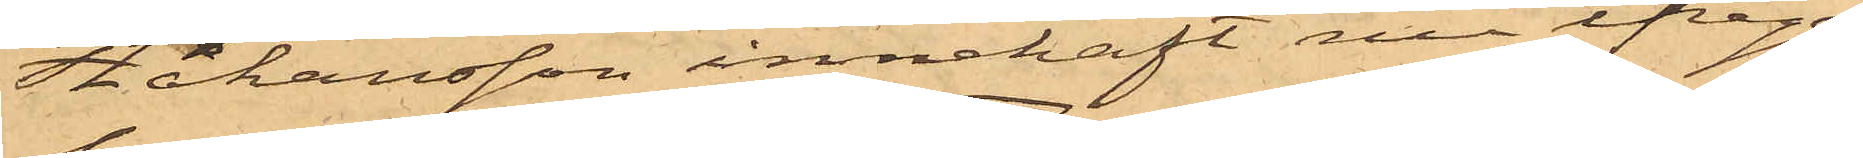Håkansson innehaft nu ifråga¬
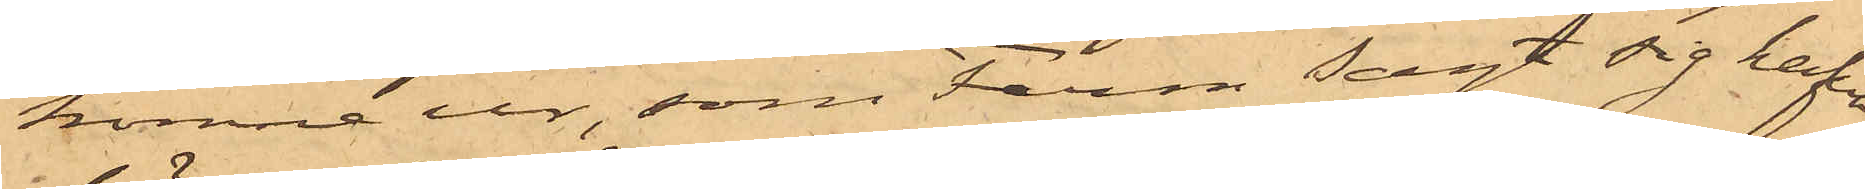komne ur, som Ferm sagt sig hafva
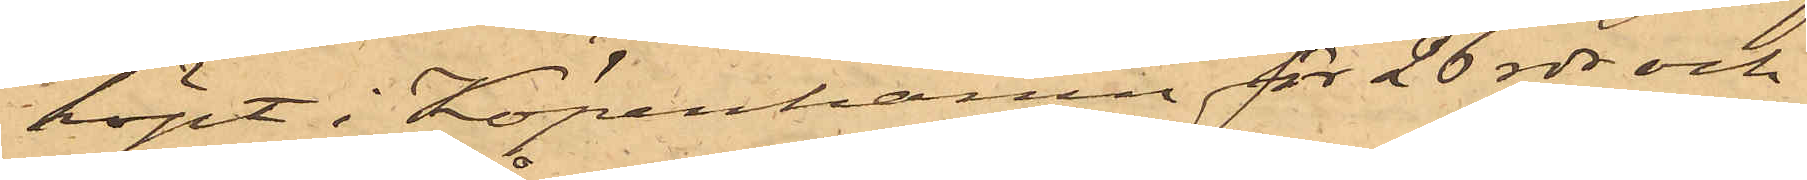köpt i Köpenhamn för 26 rdr och
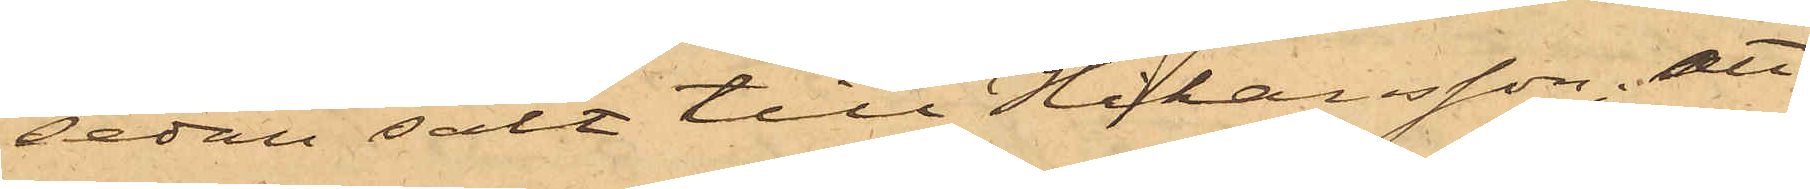sedan sålt till Håkansson, att
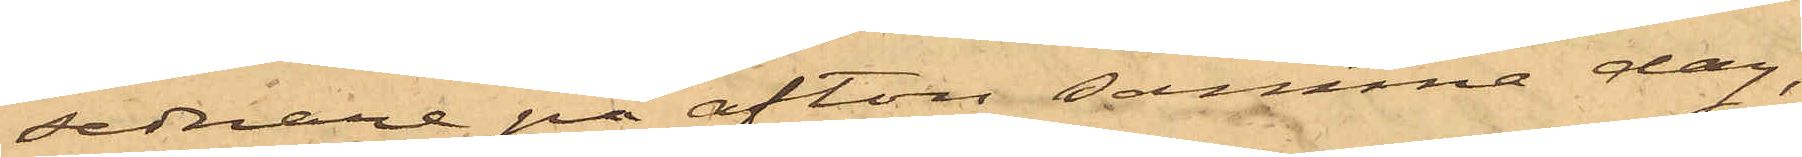sednare på afton samma dag,
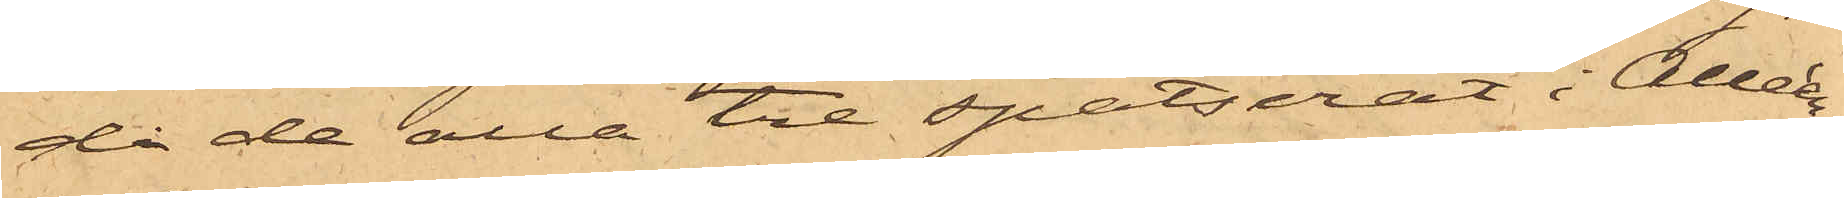då de alla tre spatserat i Alleén,
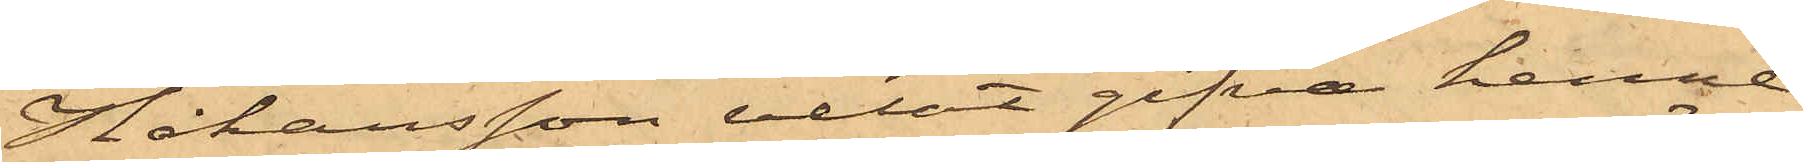Håkansson velat gifva henne
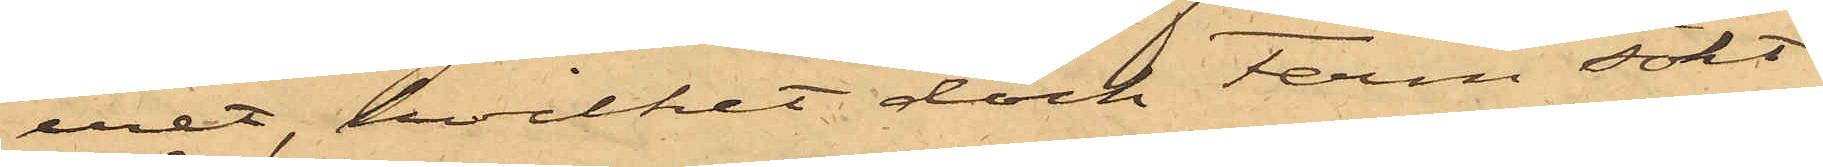uret, hvilket dock Ferm sökt
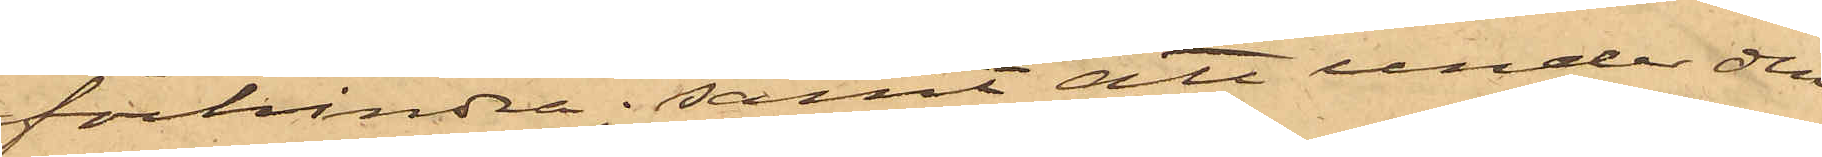förhindra; samt att under den
